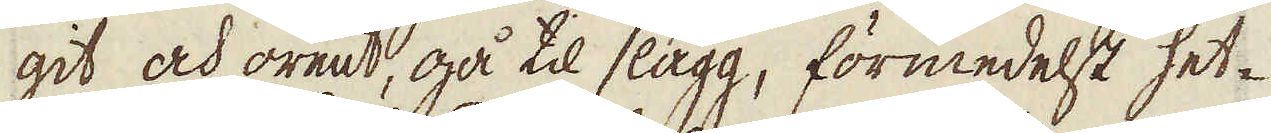git och orent, gå til slagg, förmedelst het-
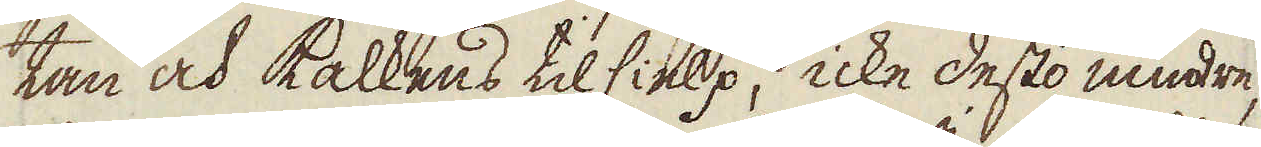tan och kalkens tilhielp, icke desto mindre,
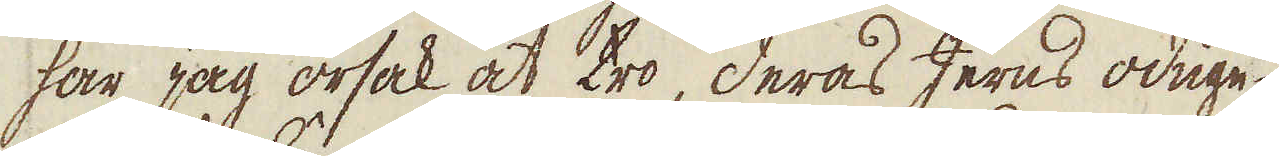har jag orsak at tro, deras Jerns oduge-
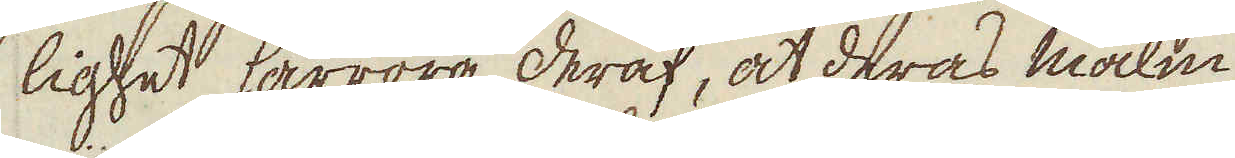lighet härröra deraf, at deras malm
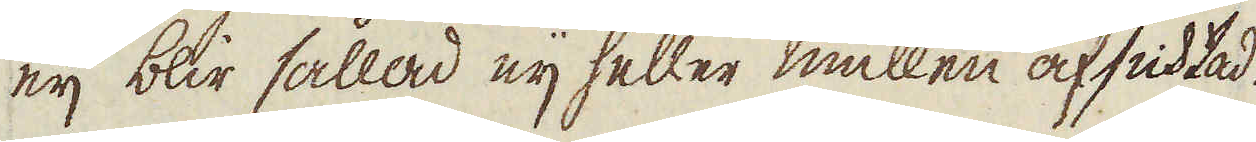eij blir sållad eij heller mullen afsichtad.
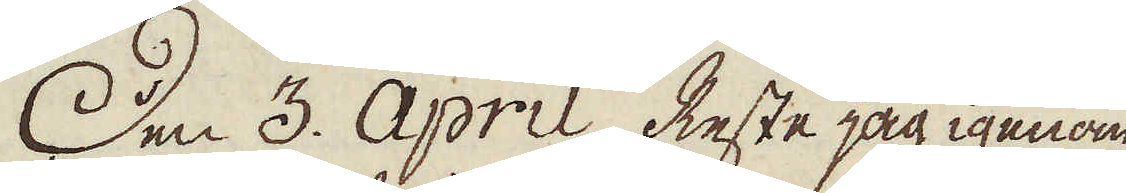Den 3. April. Reste jag igenom
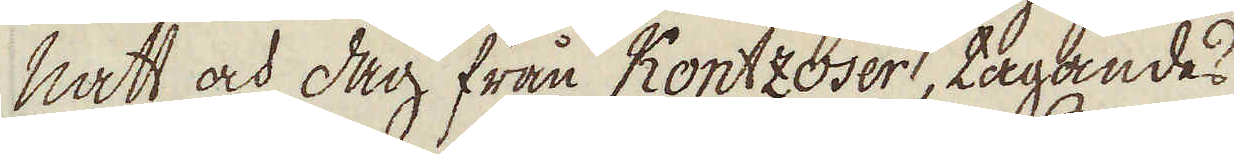natt och dag från Kontzoser, tagandes
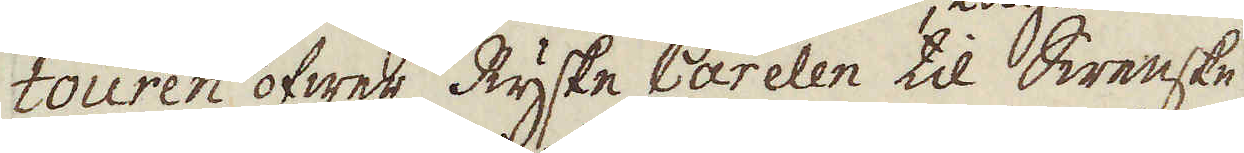touren öfwer Ryske Carelen til Swenske
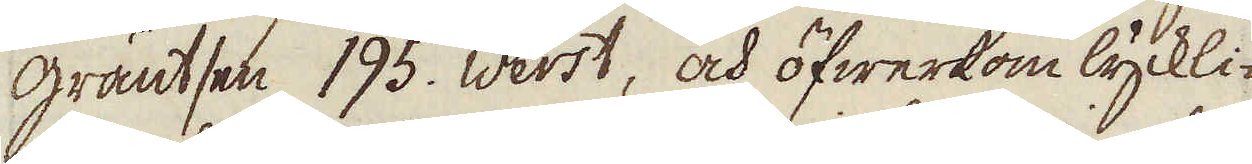gräntsen 195. Werst, och öfwerkom lyckli-
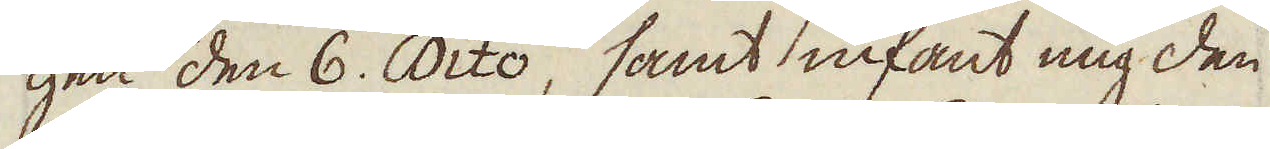gen den 6. Dito, samt infant mig den
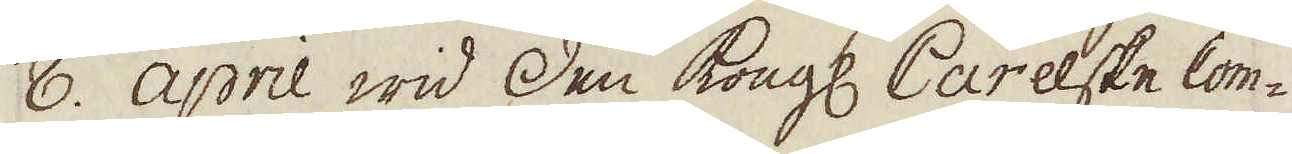8. April wid Den Kongl Carelske Com-
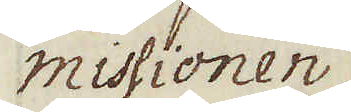missionen
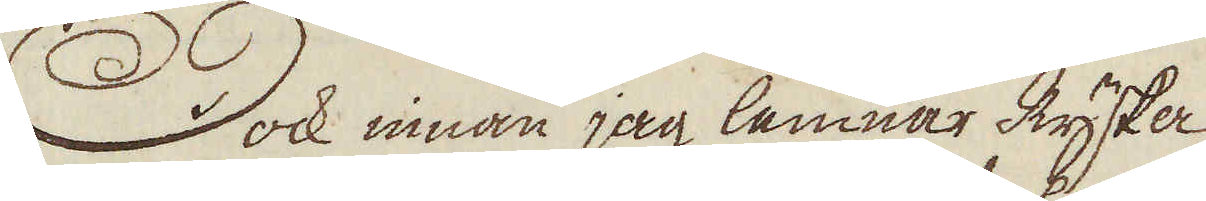Dock innan jag lemnar Ryska
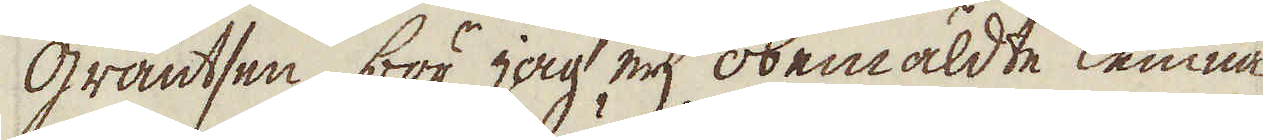gräntsen, bör jag eij obemäldte lemna
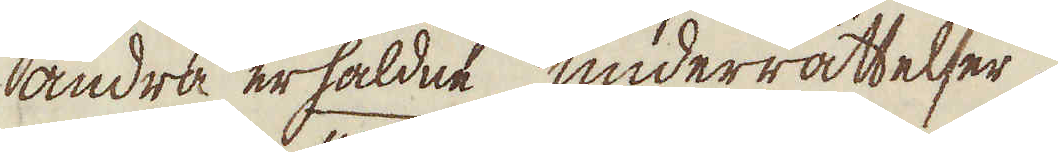andra erhåldne underrättelser.
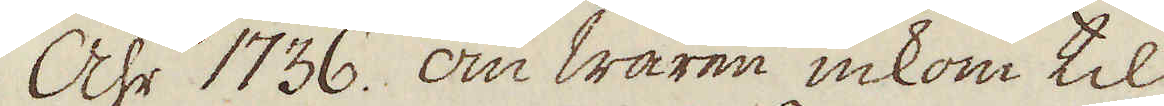Åhr 1736. om wåren inkom til
